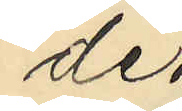de.
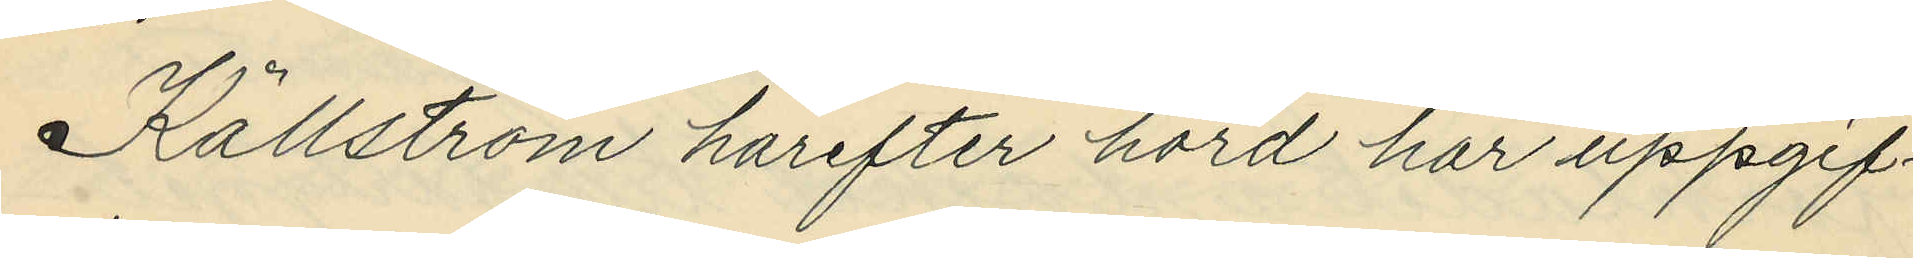Källström härefter hörd har uppgif¬
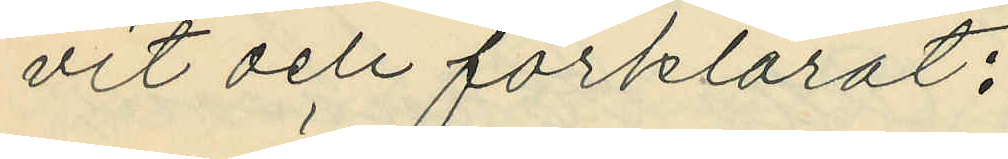vit och förklarat:
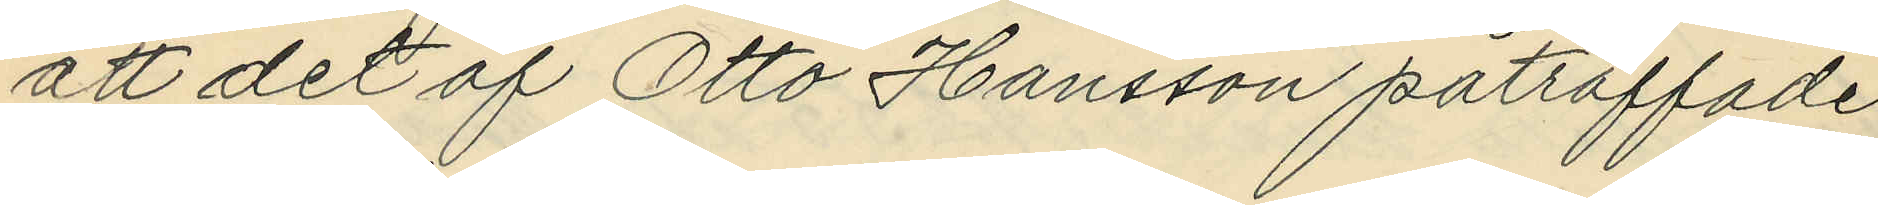att det af Otto Hansson påträffade
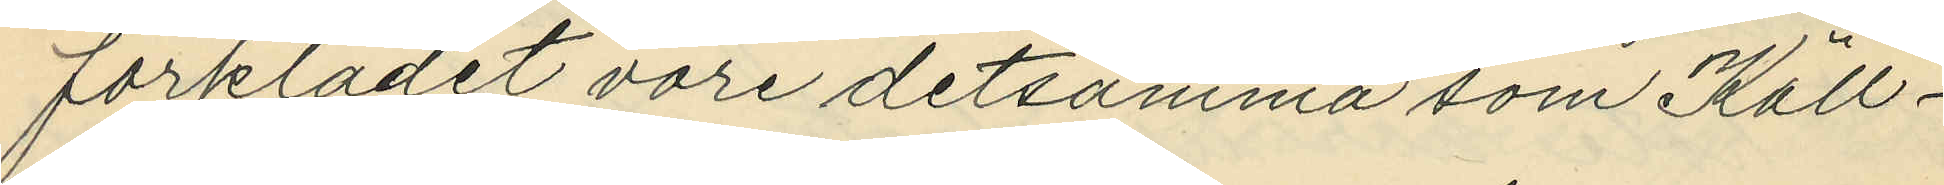förklädet vore detsamma som Käll¬
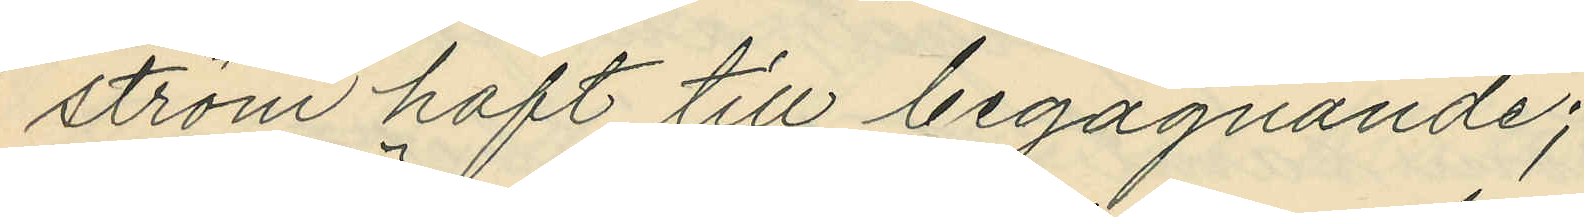ström haft till begagnande;
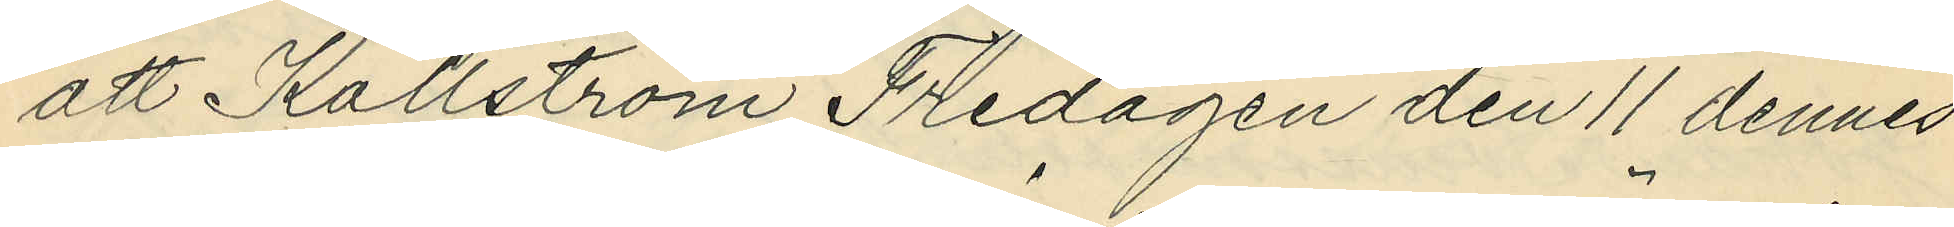att Källström Fredagen den 11 dennes
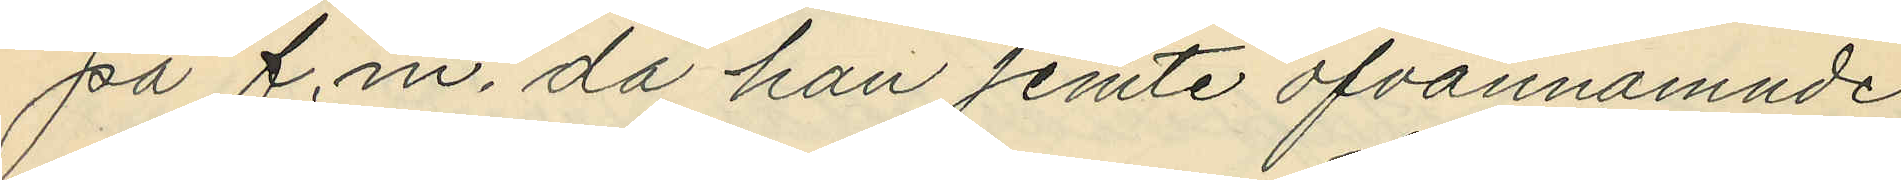på f.m. då han jemte ofvannämnde
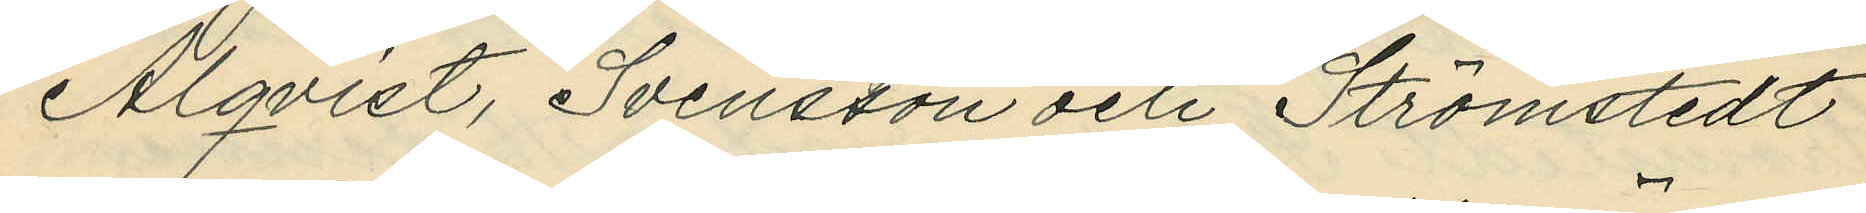Alqvist, Svensson och Strömstedt
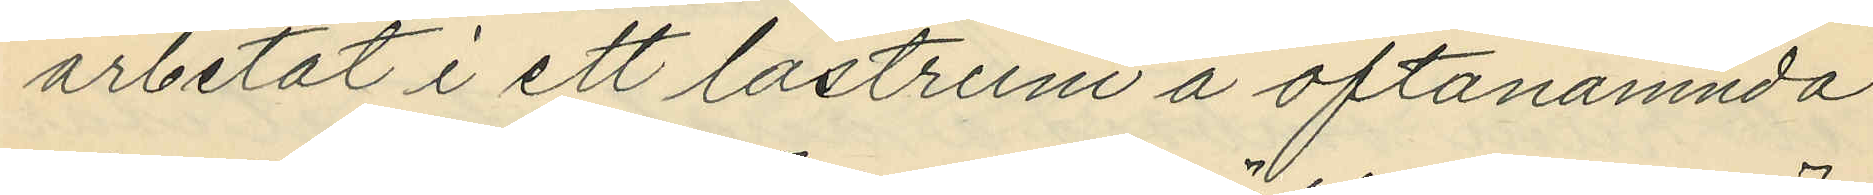arbetat i ett lastrum å oftanämnda
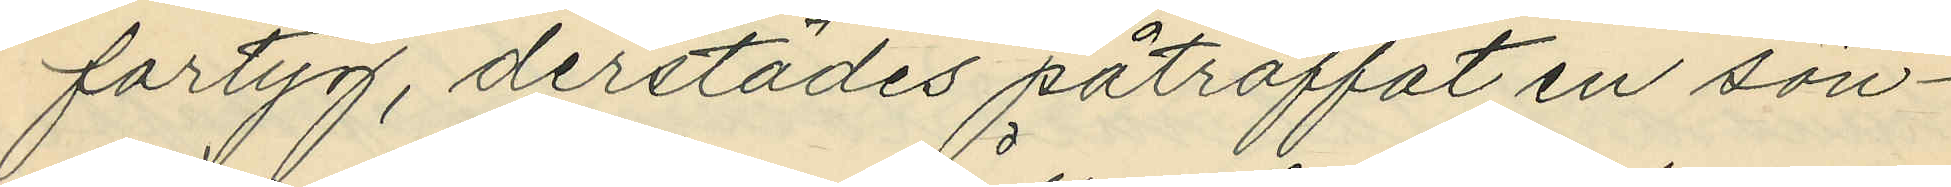fartyg, derstädes påträffat en sön¬
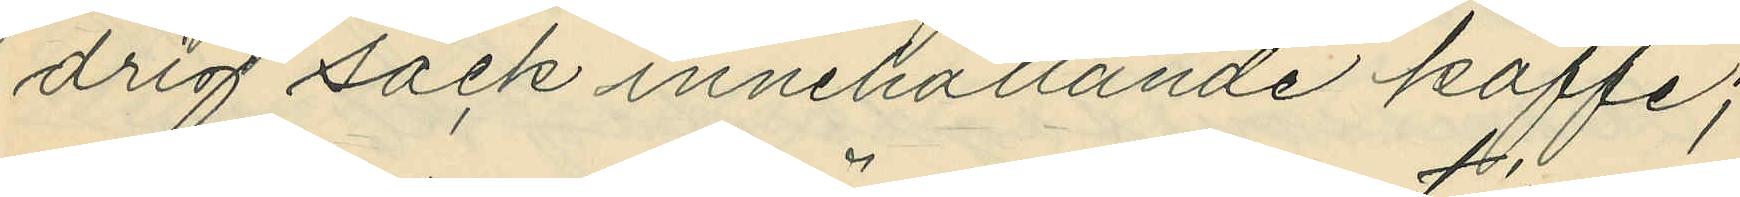drig säck innehållande kaffe;
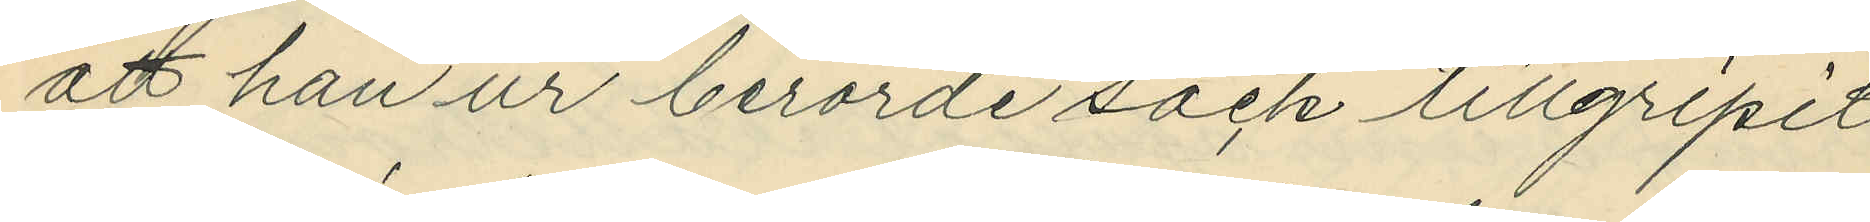att han ur berörde säck tillgripit
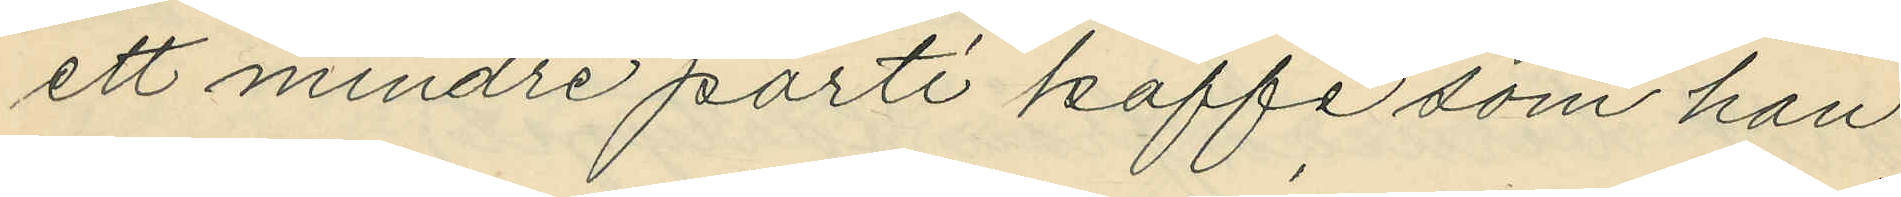ett mindre parti kaffe som han
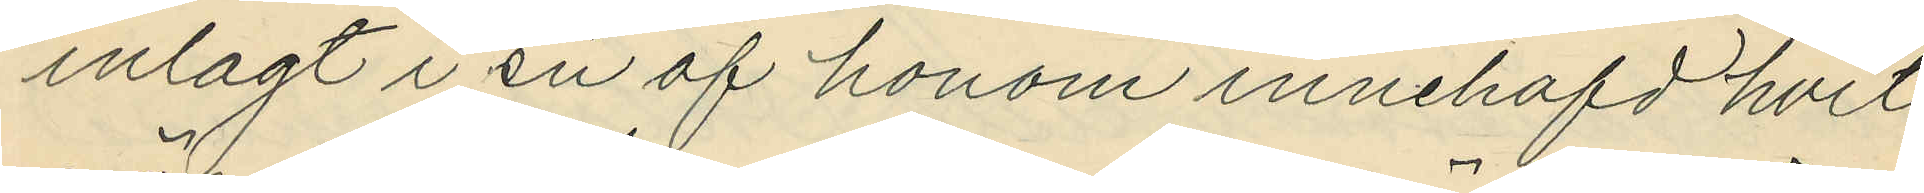inlagt i en af honom innehafd hvit
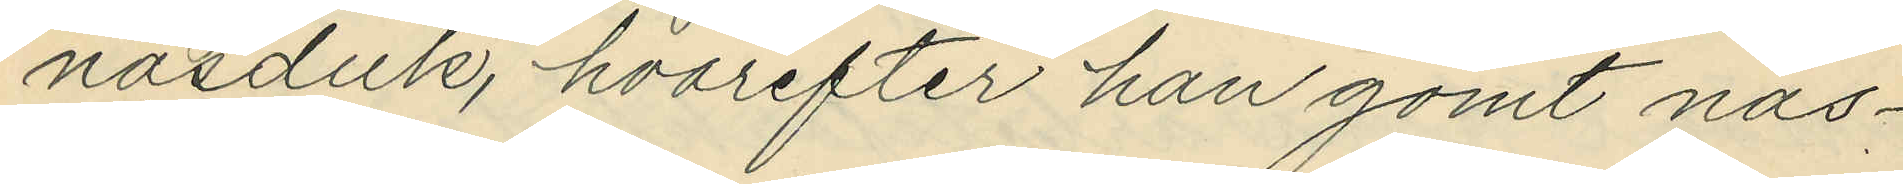näsduk, hvarefter han gömt näs¬
